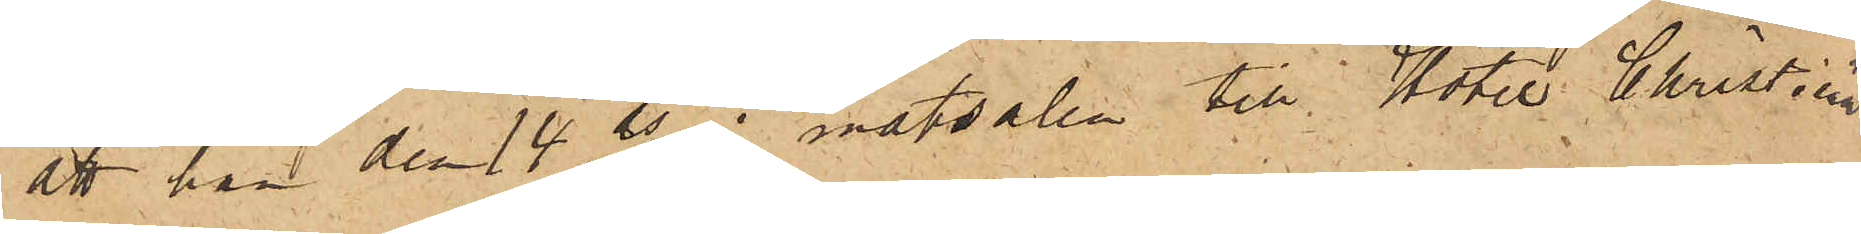att han den 14 ds i matsalen till Hotel Christiania
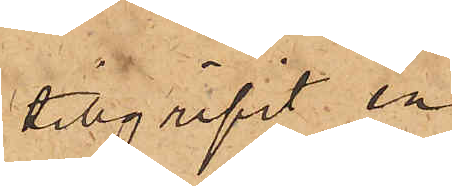tillgripit en
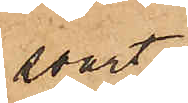svart
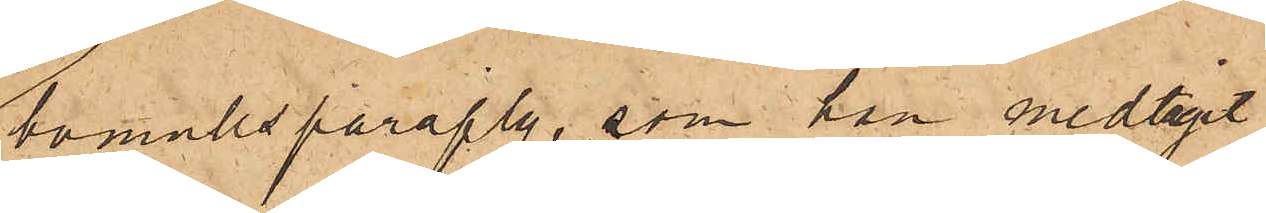bomullsparaply, som han medtagit
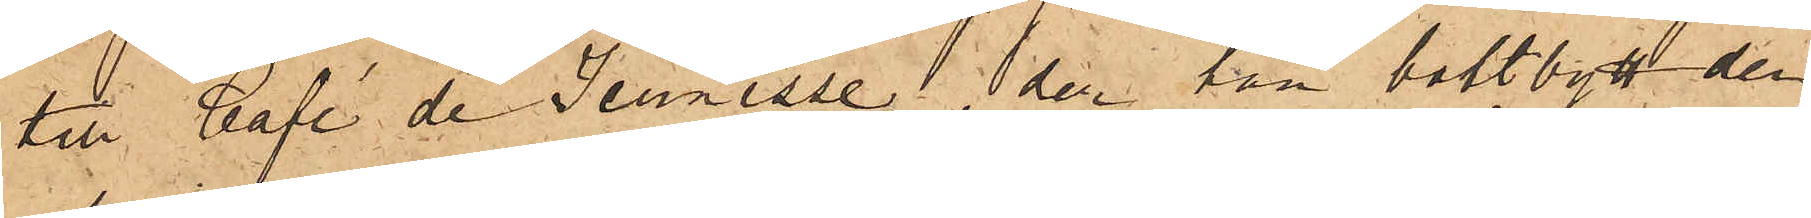till Café de Jeunesse, der han bortbytt den¬
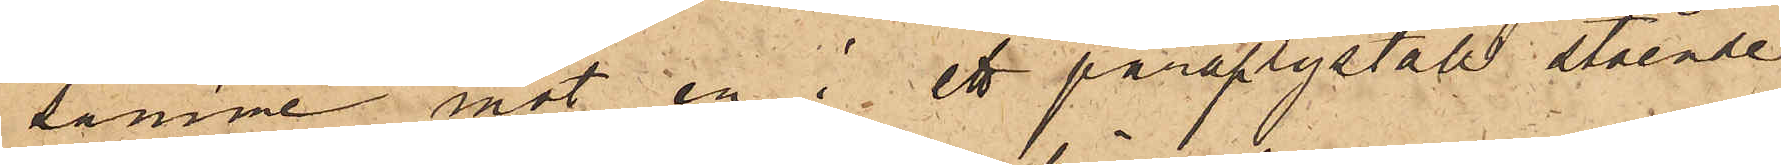samme mot en i ett paraplyställ stående
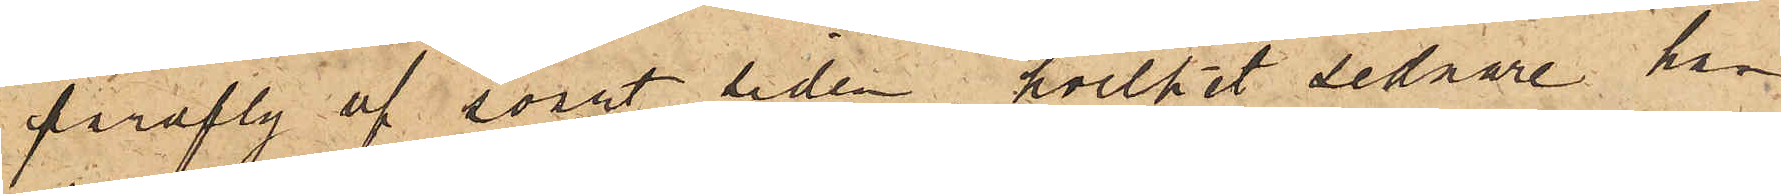paraply af svart siden, hvilket sednare har
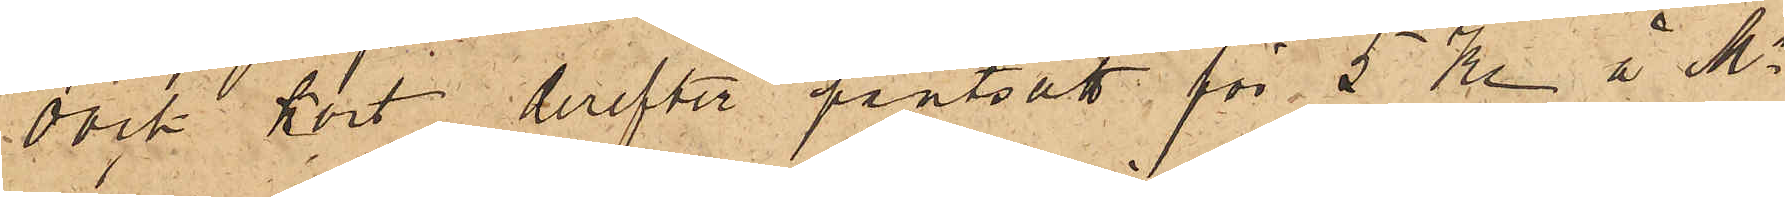dock kort derefter pantsatt för 5 Kr. å Ms
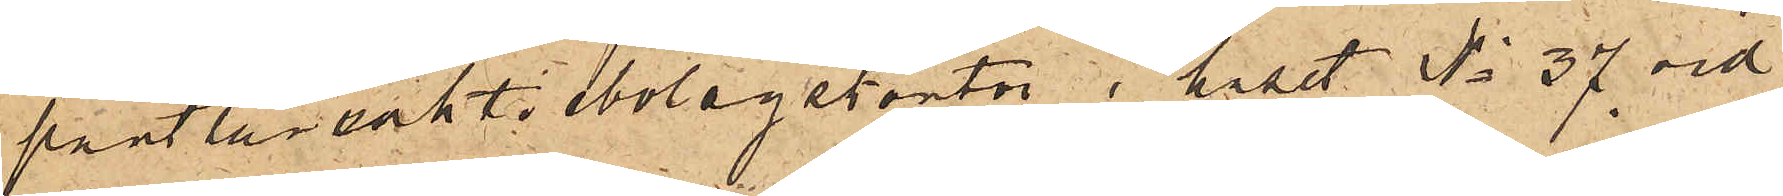pantlåneaktiebolagskontor i huset No 37 vid
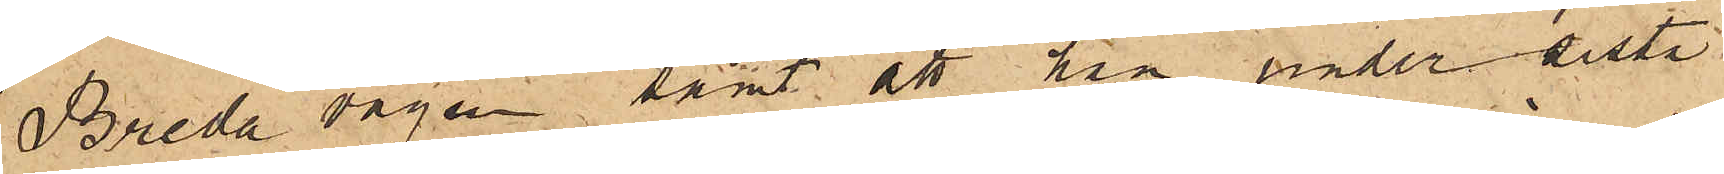Breda vägen samt att han under sista
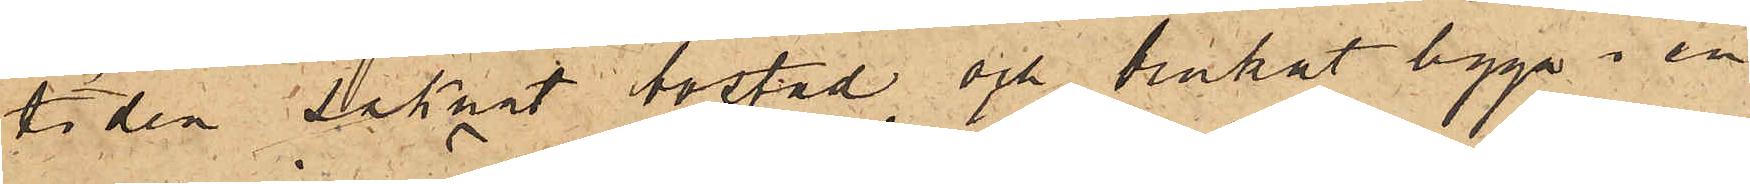tiden saknat bostad och brukat ligga i en
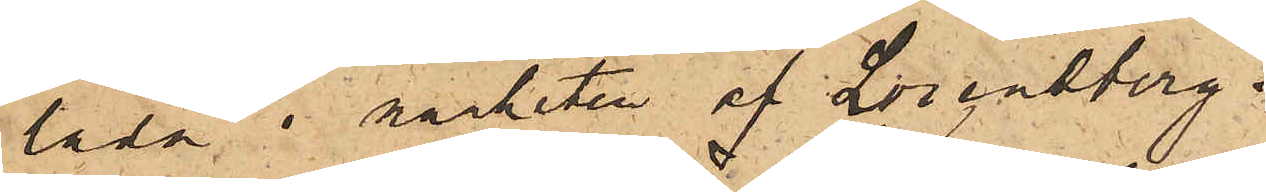lada i närheten af Lorentberg.
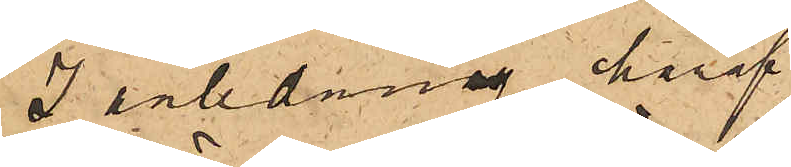I anledning häraf
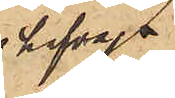hafva
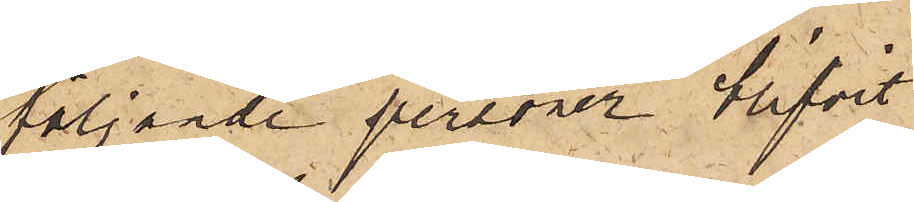följande personer blifvit
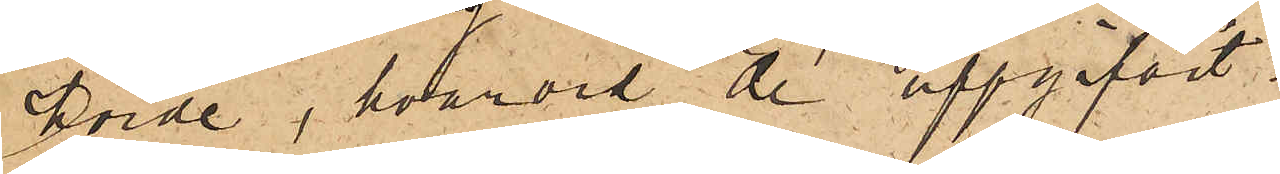börde, hvarvid de uppgifvit:
